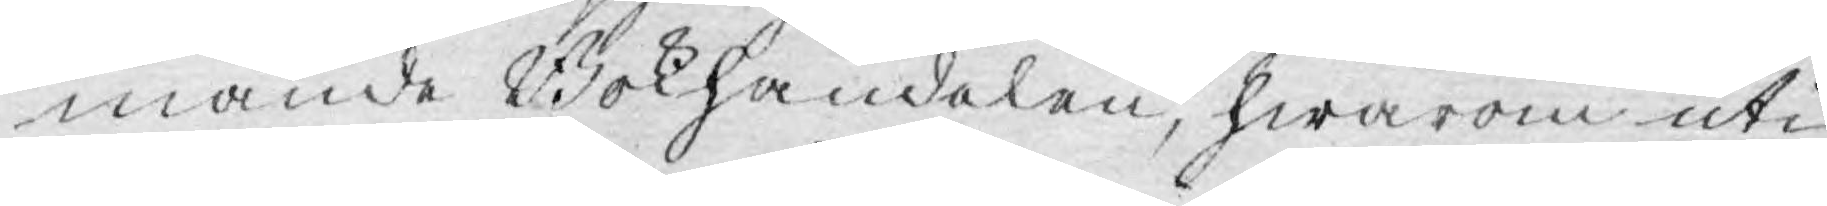mande Bokhandelen, hwarom uti
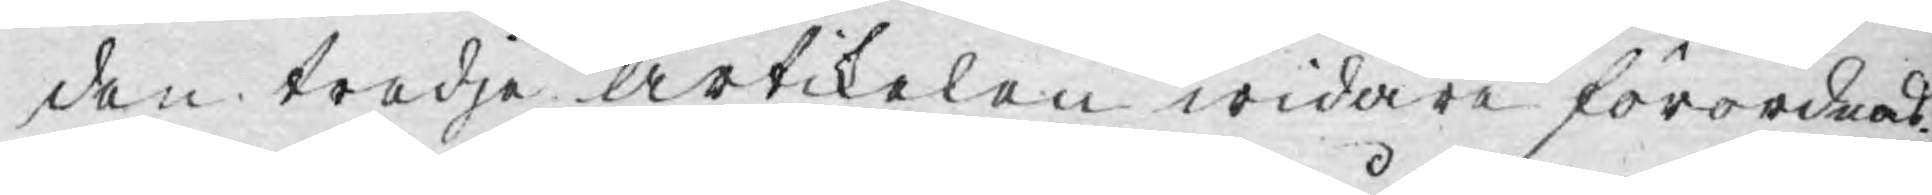den tredje artikelen widare förordnas.
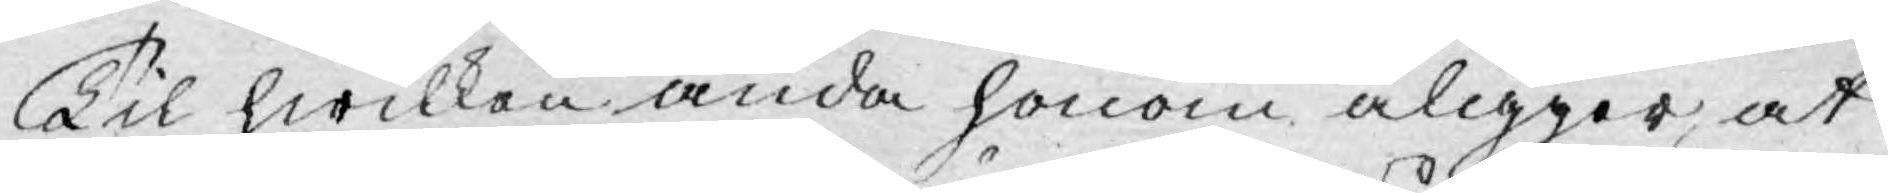Til hwilken ända honom åligger, at
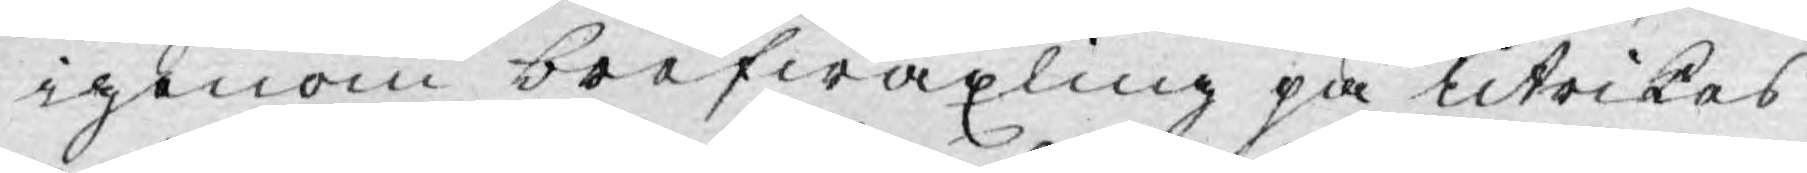igenom brefwäxling på utrikes
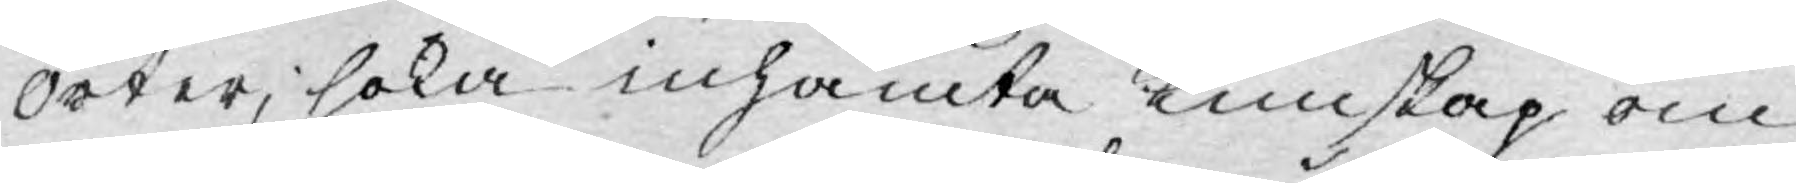orter, söka inhämta Kunskap om
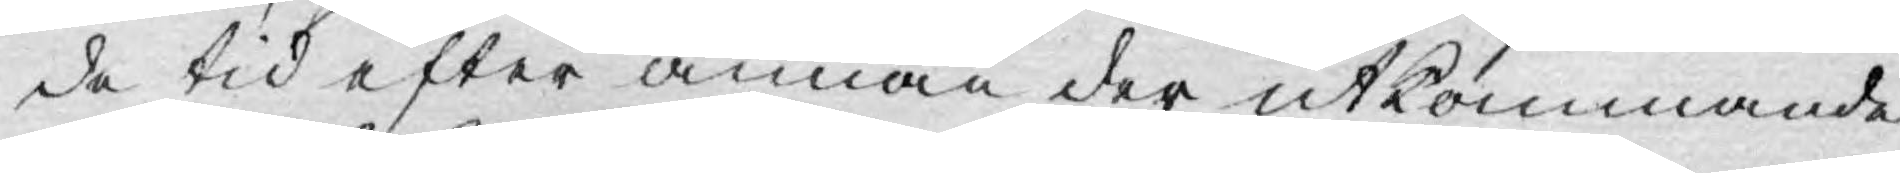de tid efter annan der utkommande
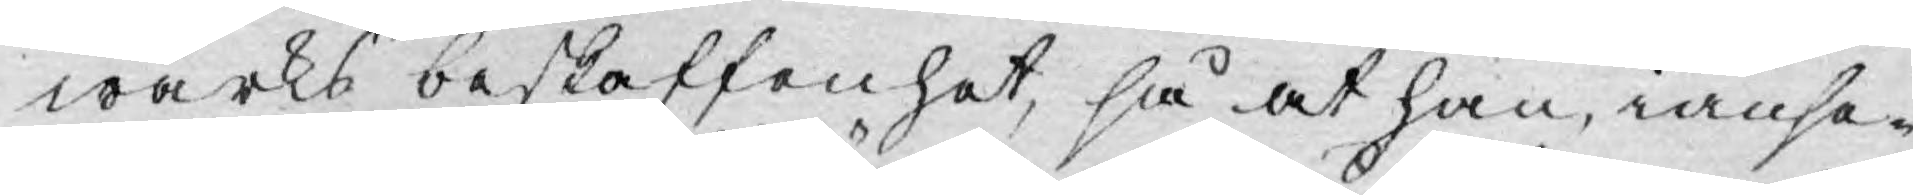wärks beskaffenhet, så at han, ianse¬
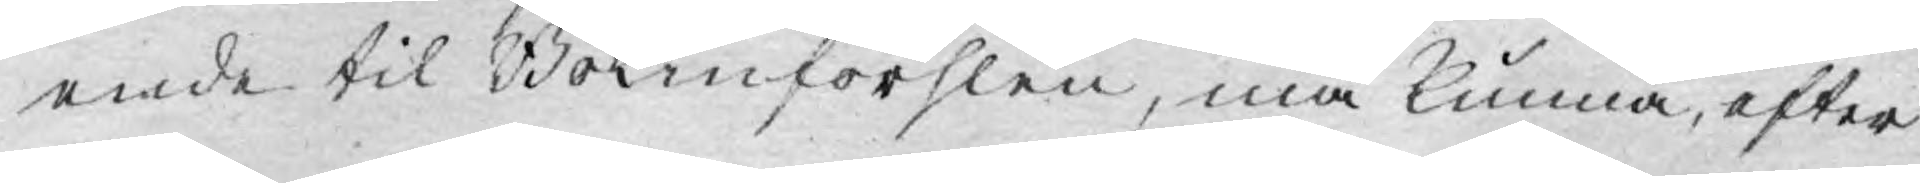ende til Bokinförslen, må kunna, efter
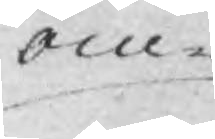om¬
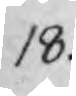18.
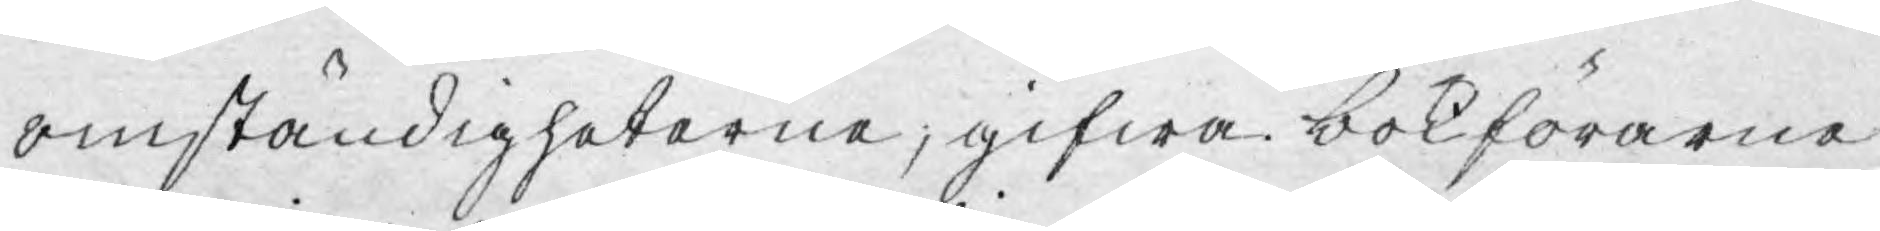omständigheterne, gifwa bokförarne
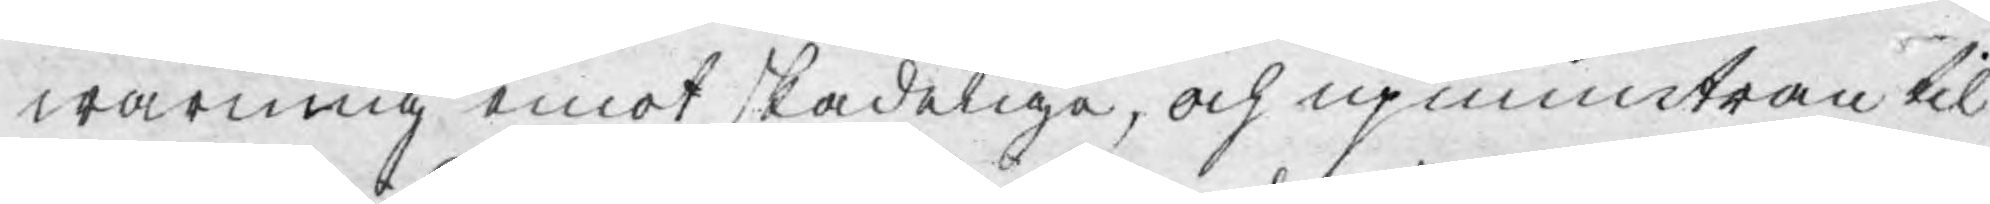warning emot skadeliga, och upmuntran til
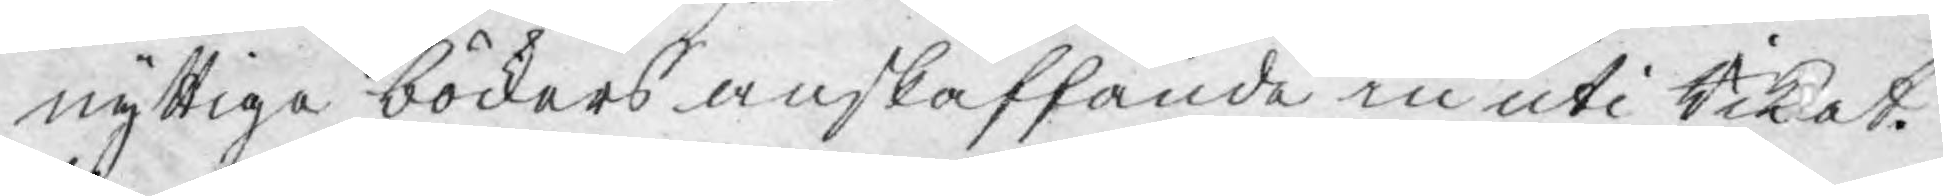nyttiga böckers anskaffande in uti Riket.
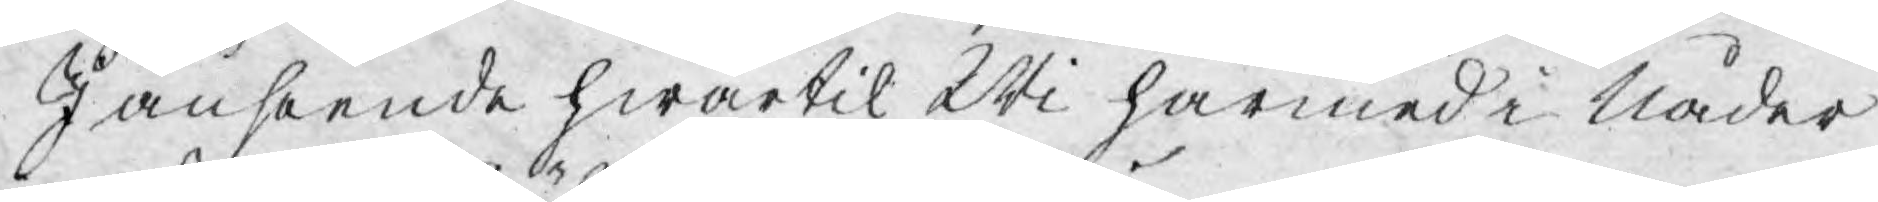I anseende hwartil Wi härmed i Nåder
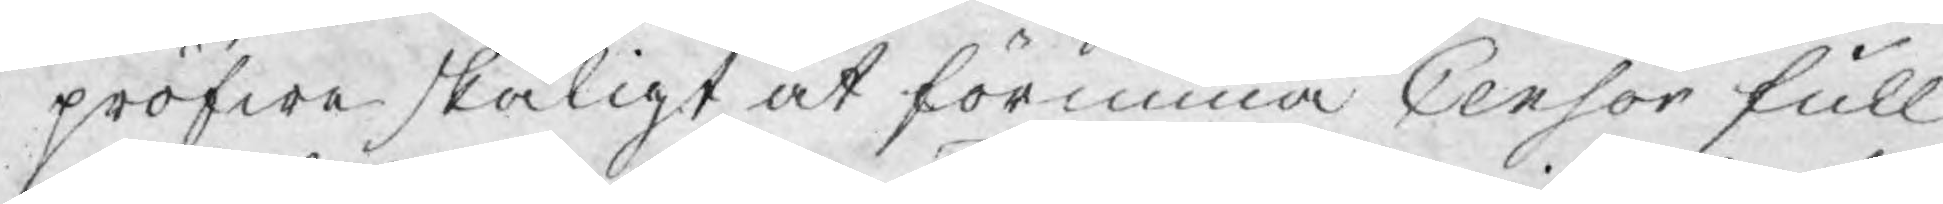pröfwe skäligt at förunna Censor full
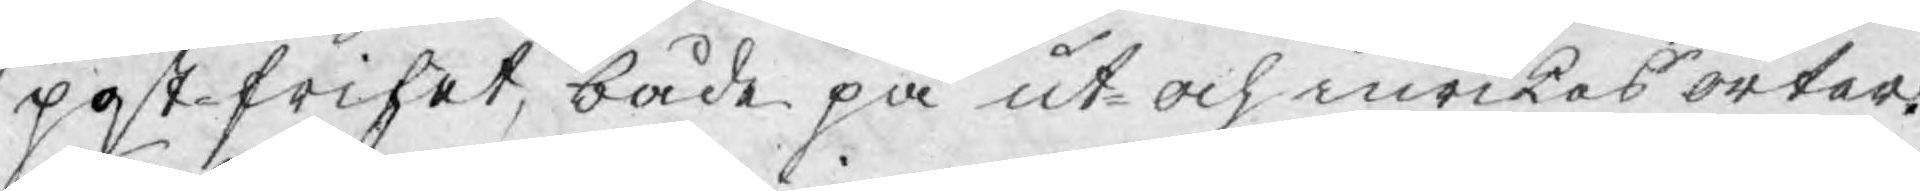post-frihet, både på ut- och inrikes orter.
